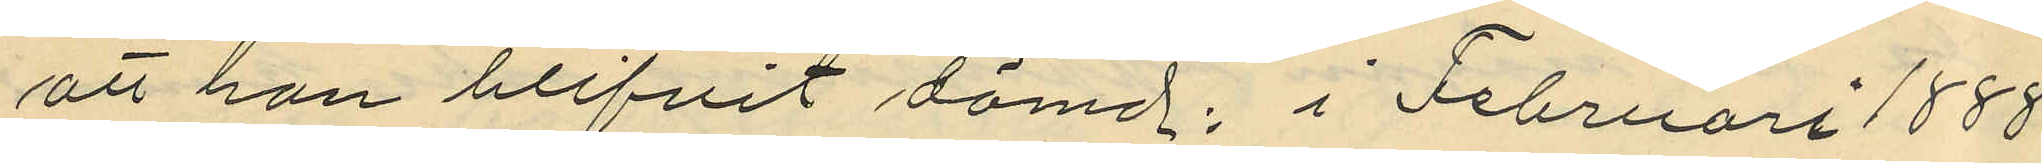att han blifvit dömd: i Februari 1888
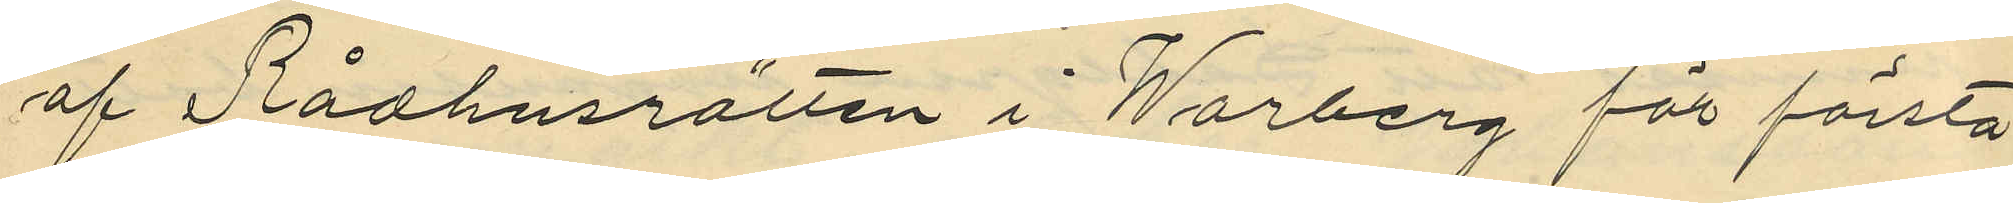af Rådhusrätten i Warberg för första
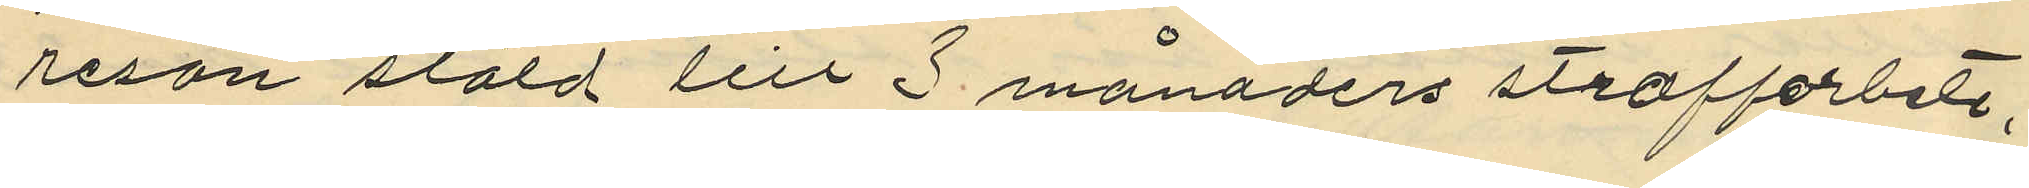resan stöld till 3 månaders straffarbete;
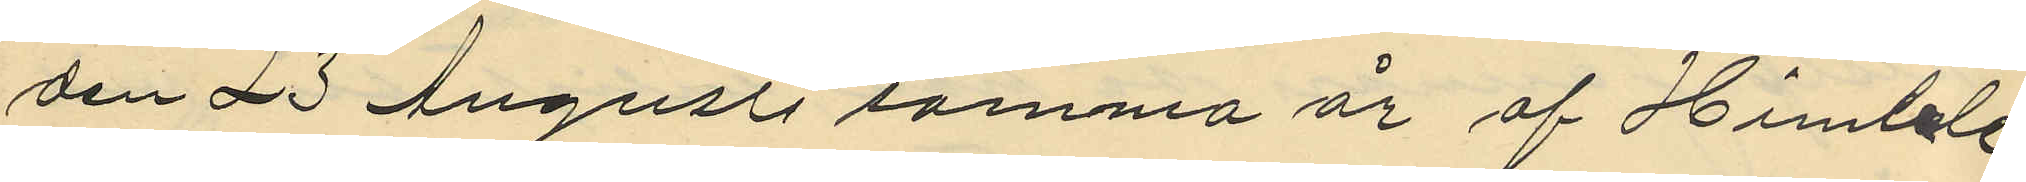den 23 Augusti samma år af Himble
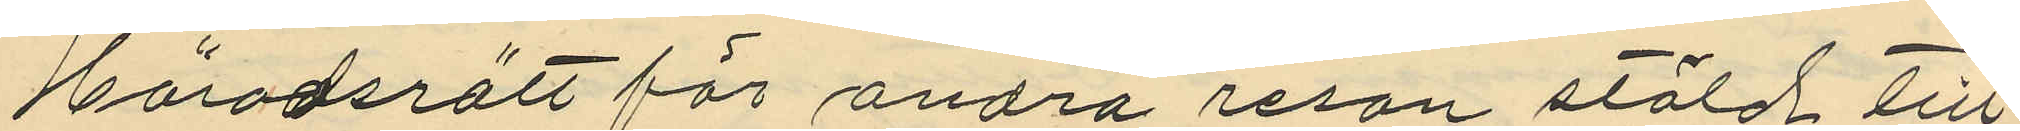Häradsrätt för andra resan stöld till
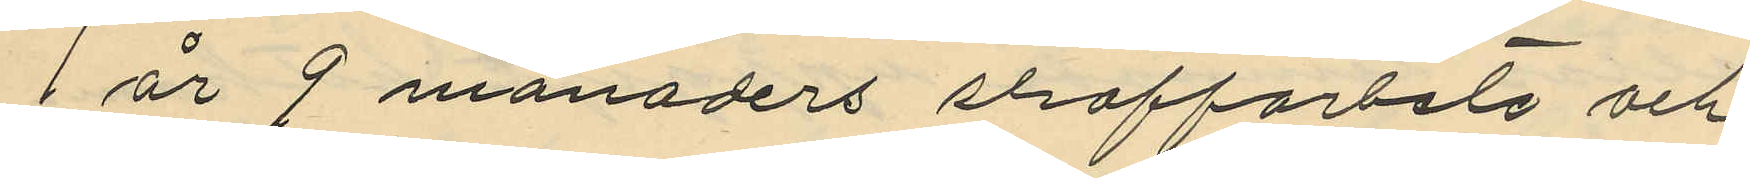1 år 9 månaders straffarbete och
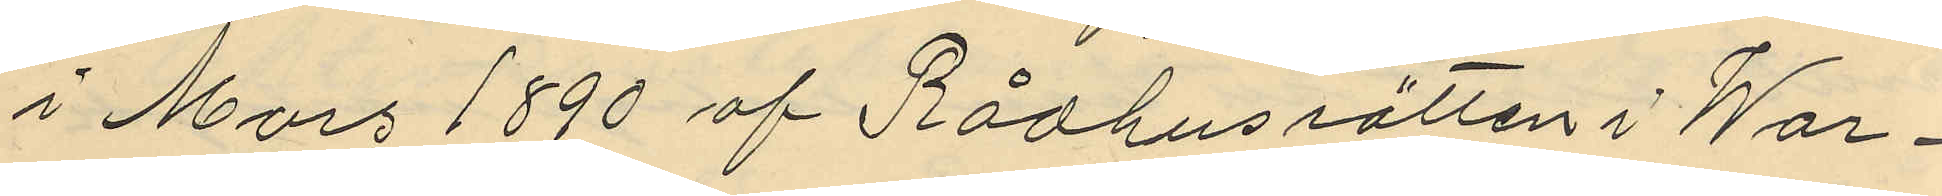i Mars 1890 af Rådhusrätten i War¬
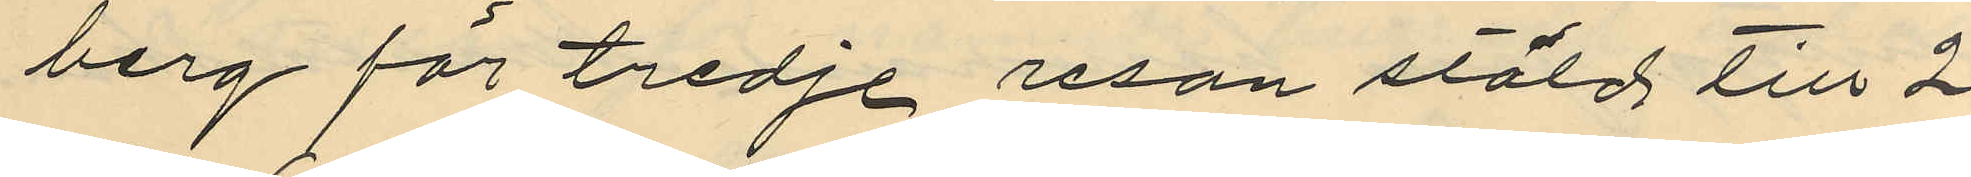berg för tredje resan stöld till 2
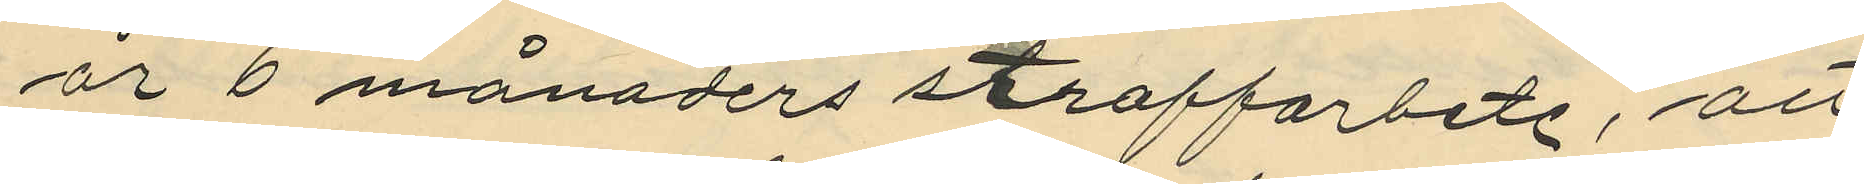år 6 månaders straffarbete, att
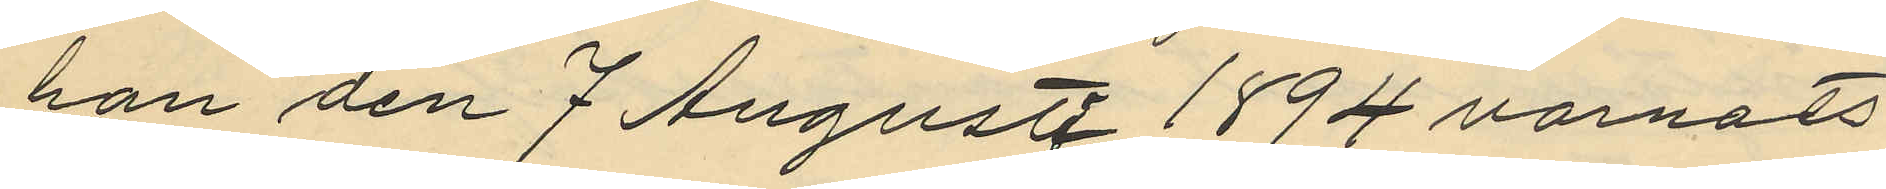han den 7 Augusti 1894 varnats
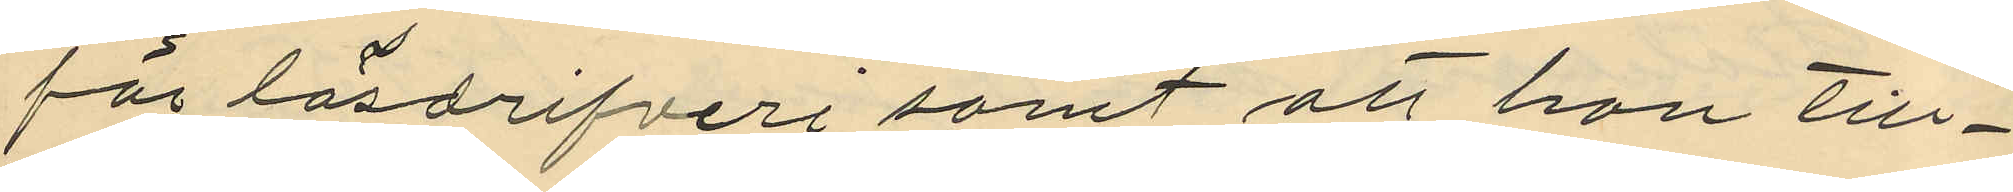för lösdrifveri samt att han till¬
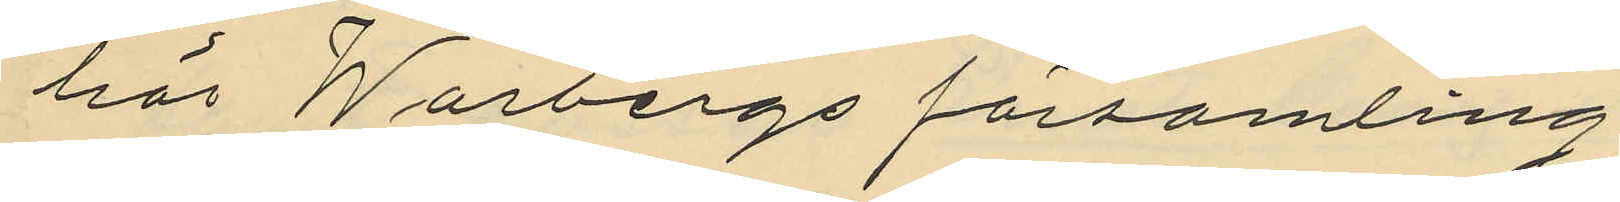hör Warbergs församling.
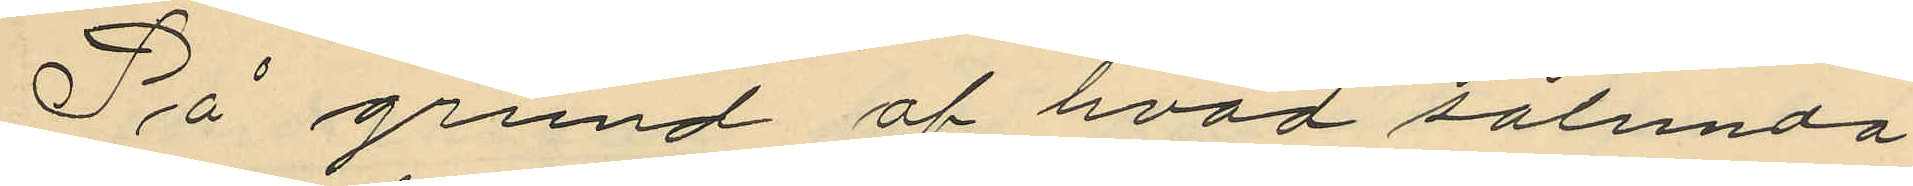På grund af hvad sålunda
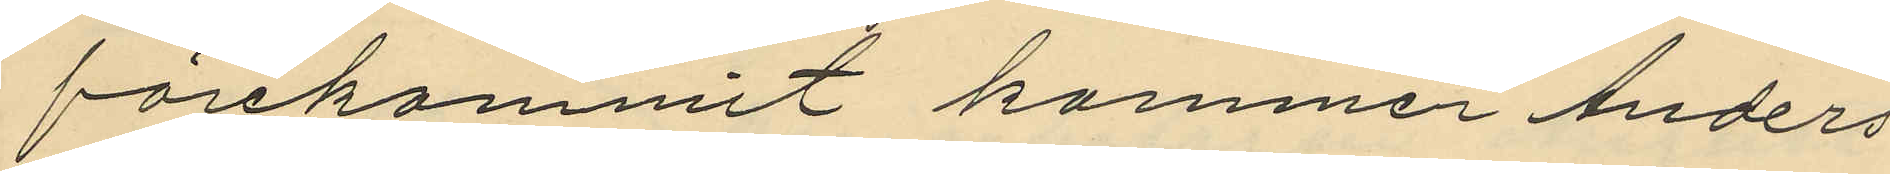förekommit kommer Anders
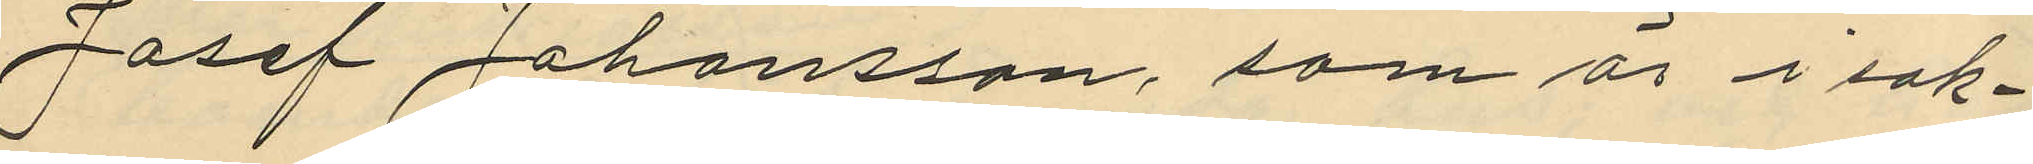Josef Johansson, som är i sak¬
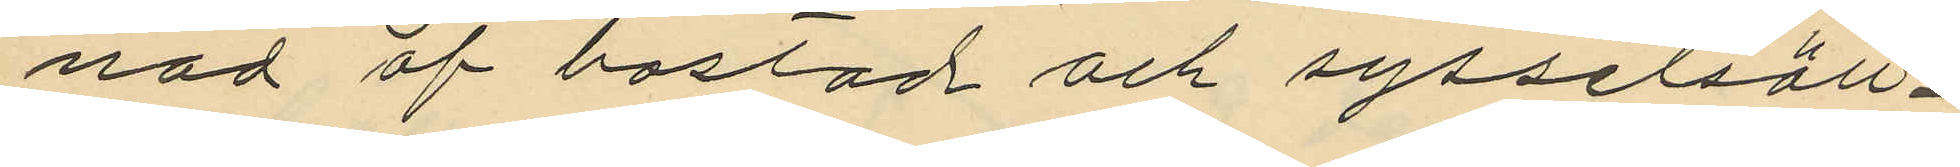nad af bostad och sysselsäll¬
